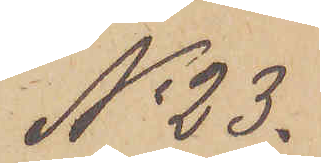No 23.
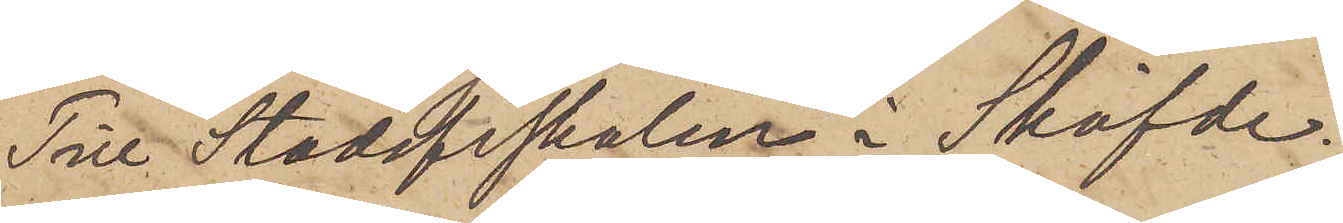Till Stadsfiskalen i Sköfde.
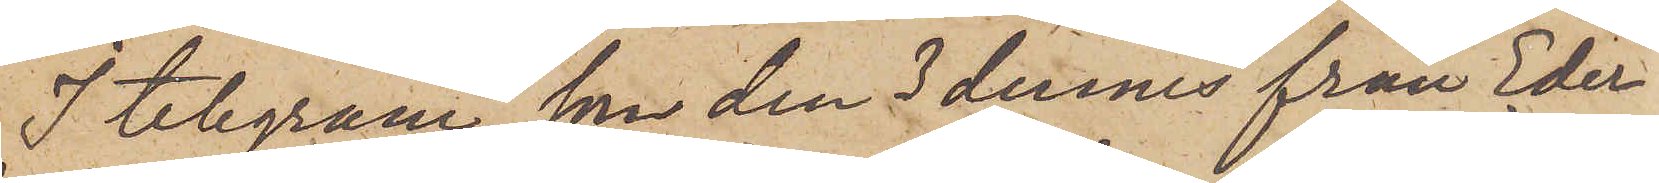I telegram, som den 3 dennes från Eder
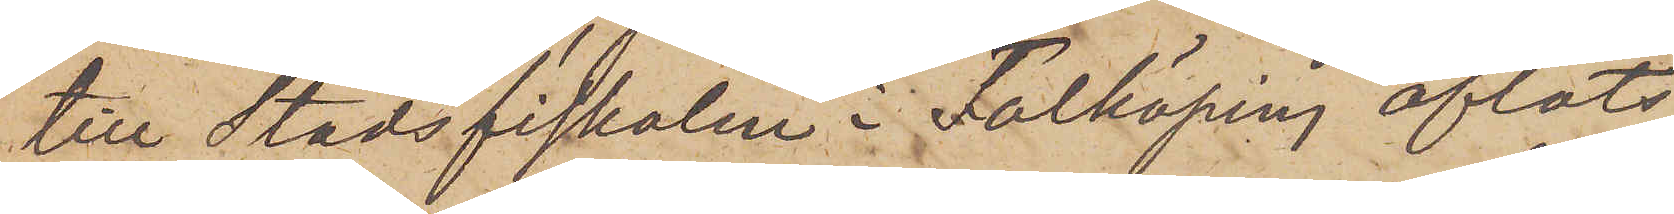till Stadsfiskalen i Falköping afläts,
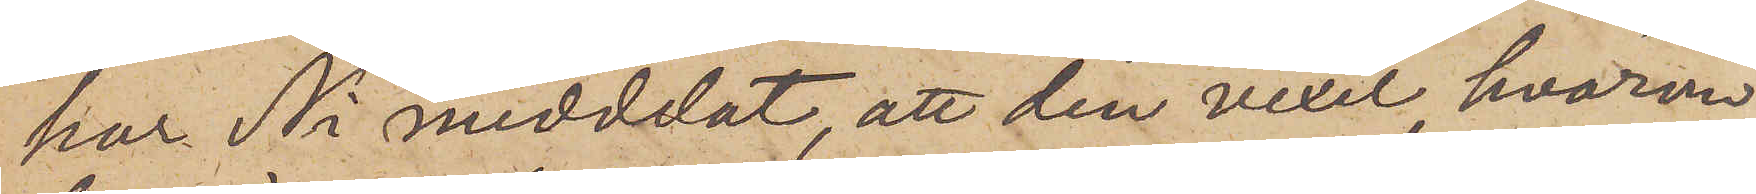har Ni meddelat, att den vexel, hvarom
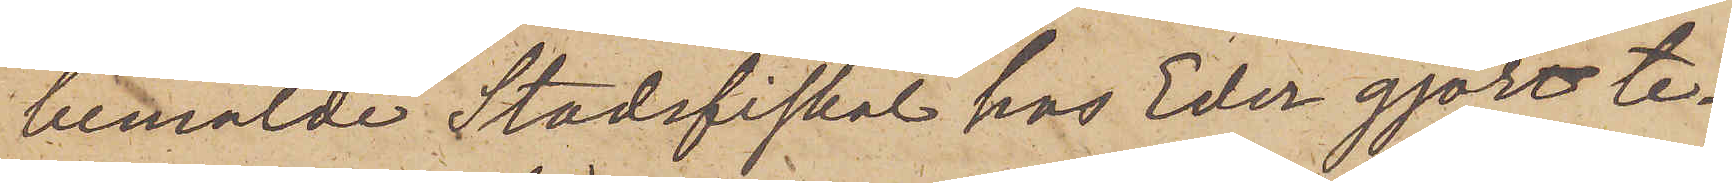bemälde Stadsfiskal hos Eder gjort te¬
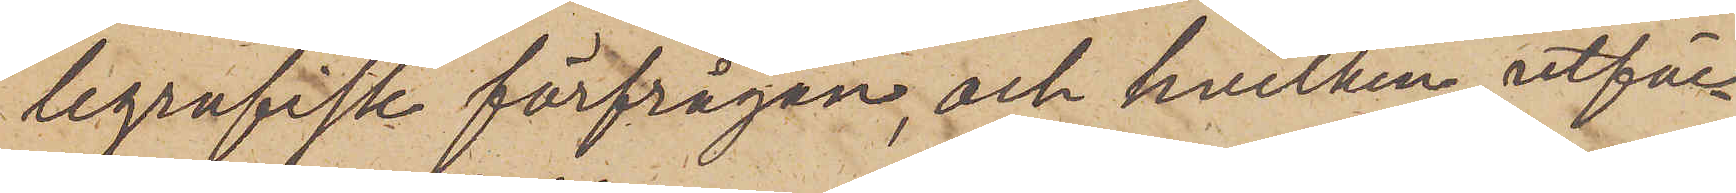legrafisk förfrågan, och hvilken utfär¬
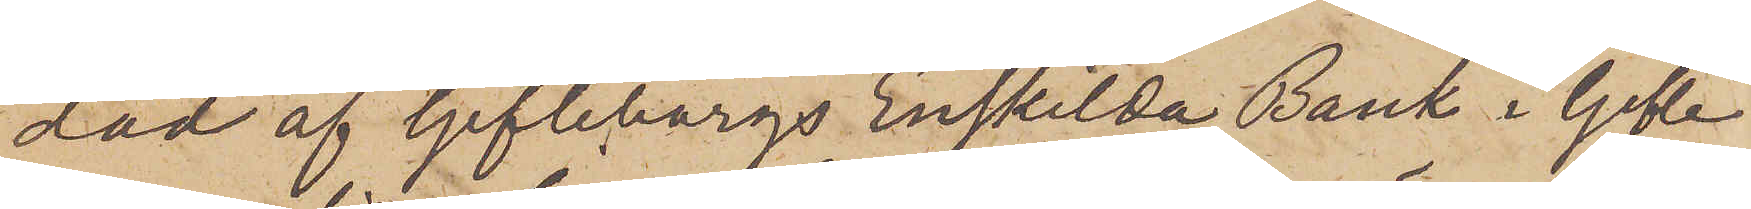dad af Gefleborgs Enskilda Bank i Gefle
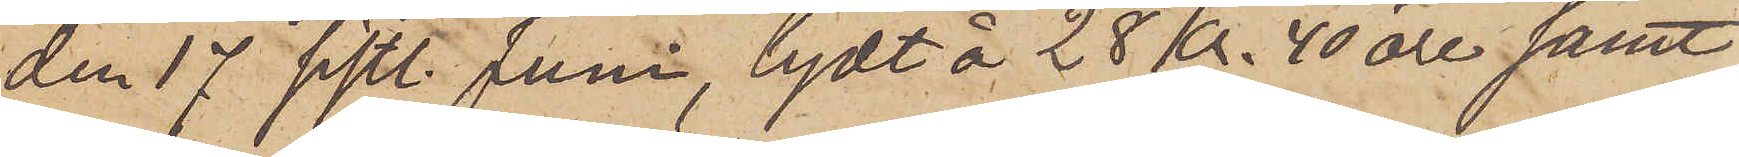den 17 sistl. Juni, lydt å 28 Kr. 40 öre samt
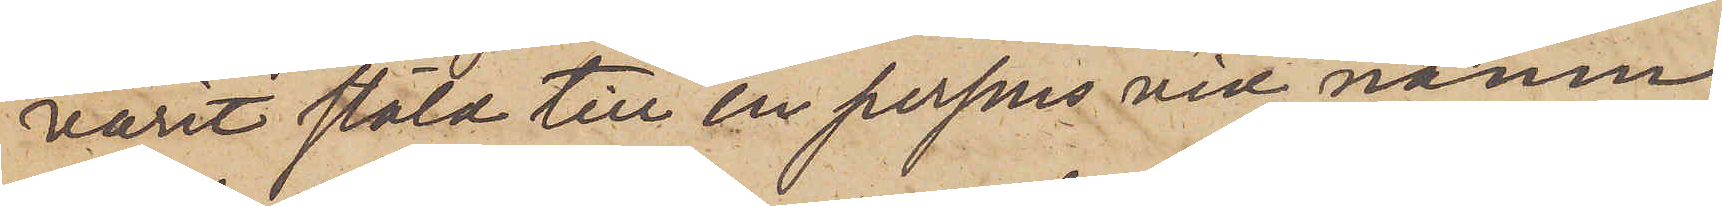varit stäld till en persons vid namn
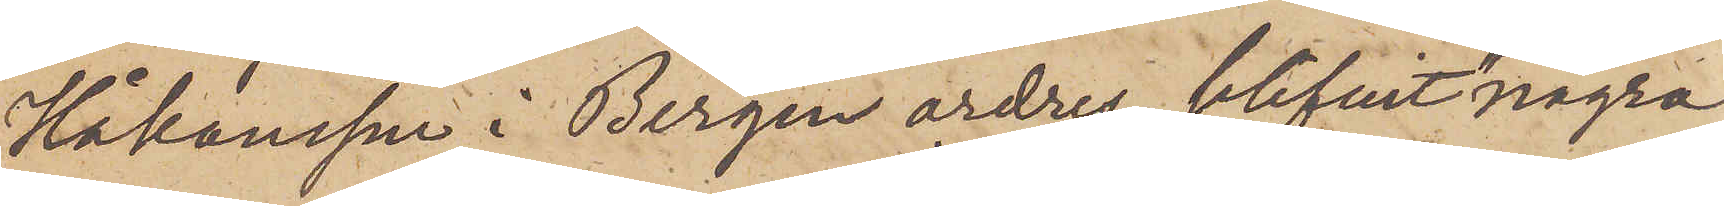Håkansson i Bergen ordres, blifvit "några
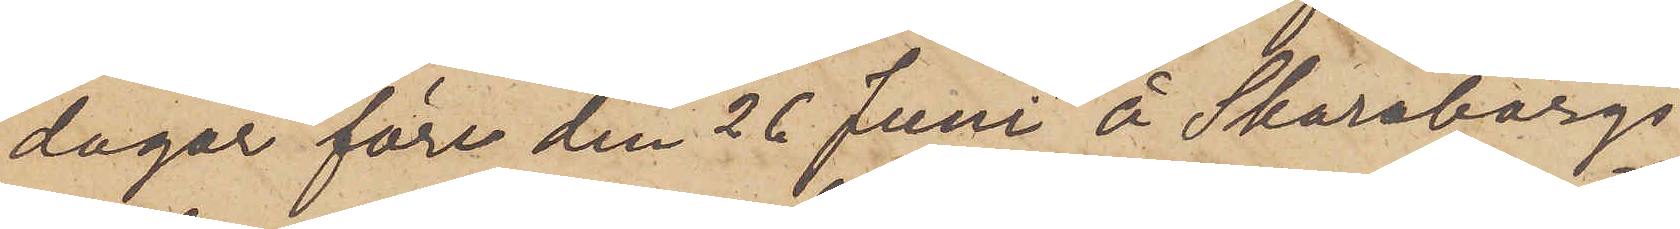dagar före den 26 Juni" å Skaraborgs
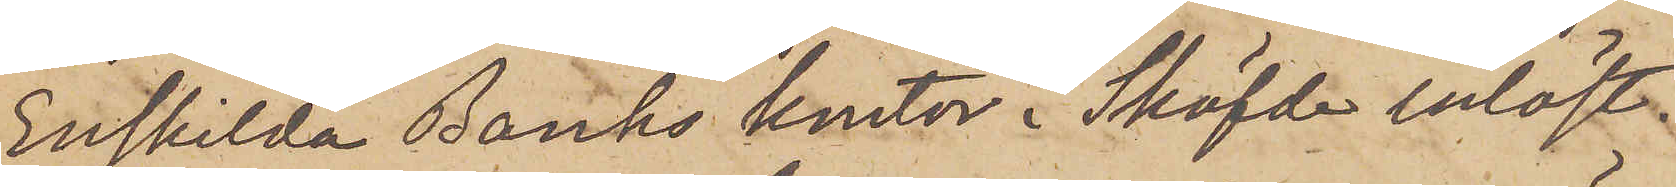Enskilda Banks kontor i Sköfde inlöst.
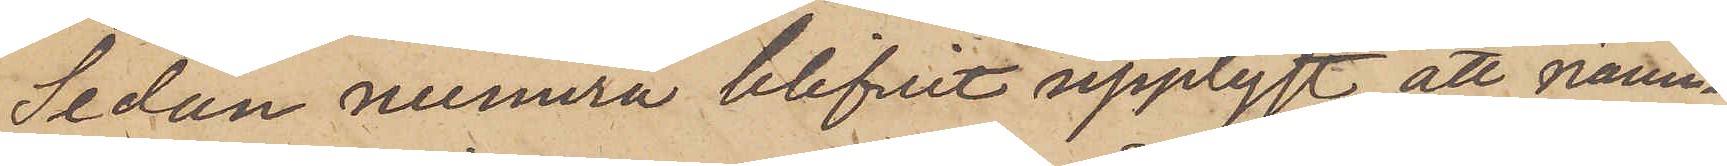Sedan numera blifvit upplyst att nämn¬
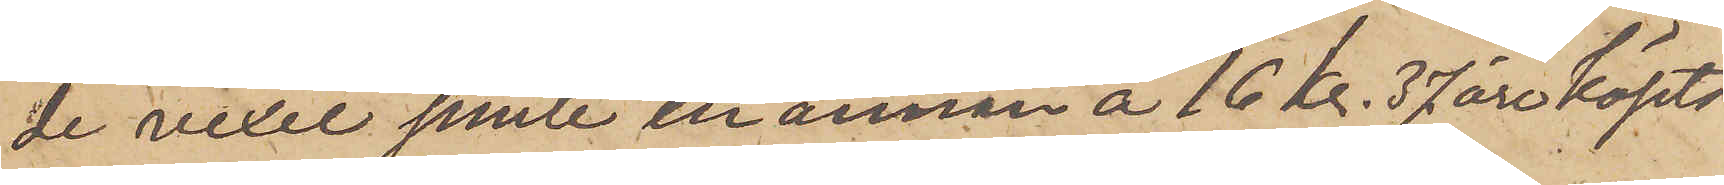de vexel jemte en annan å 16 kr. 37 öre köpts
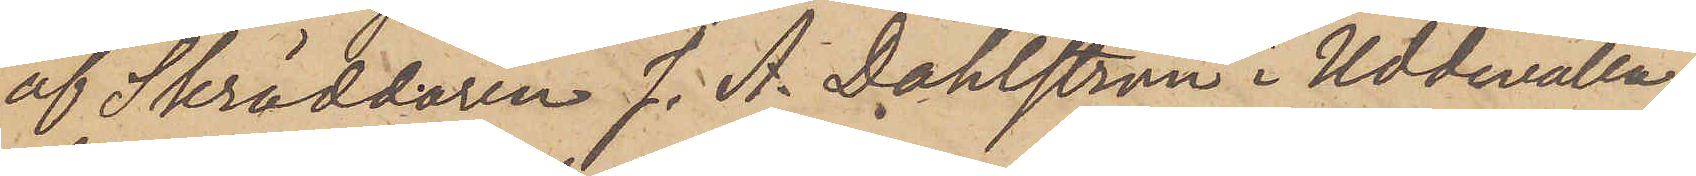af Skräddaren J. A. Dahlström i Uddevalla,
